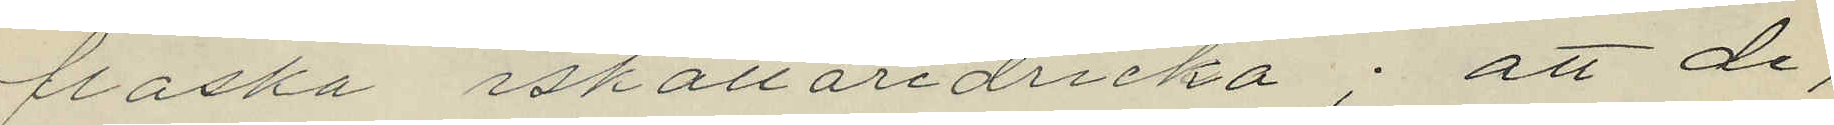flaska iskällaredricka; att de,
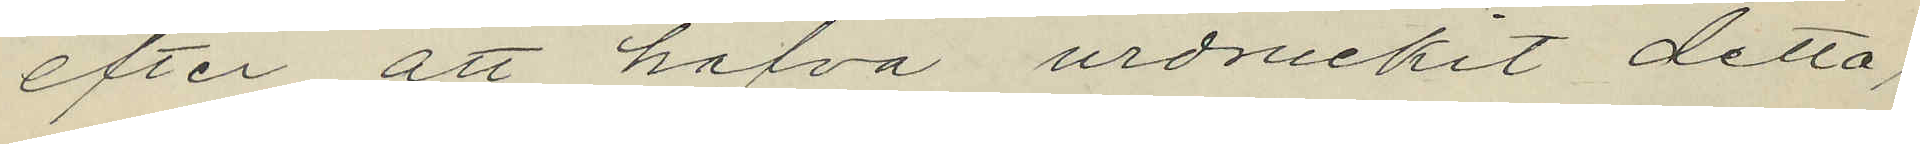efter att hafva urdruckit detta
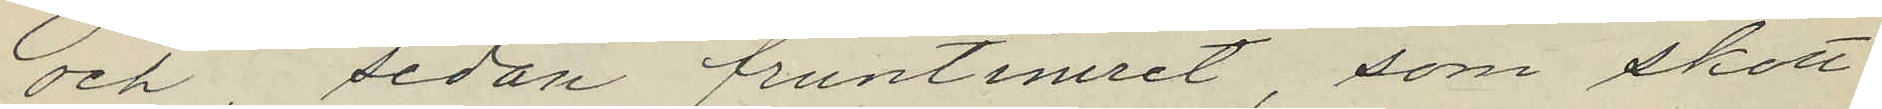och, sedan fruntimret, som skött
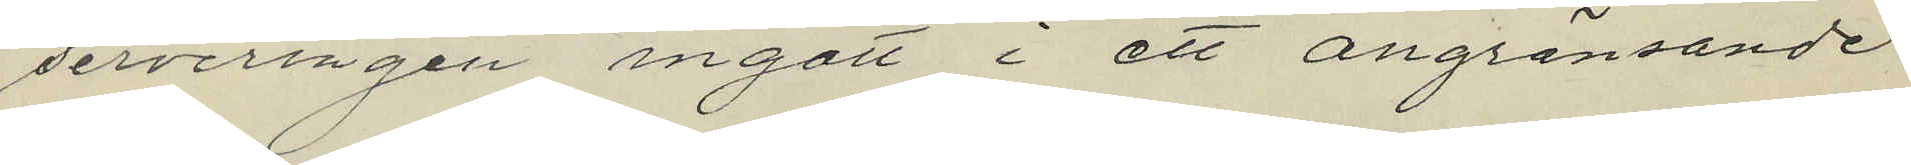serveringen ingått i ett angränsande
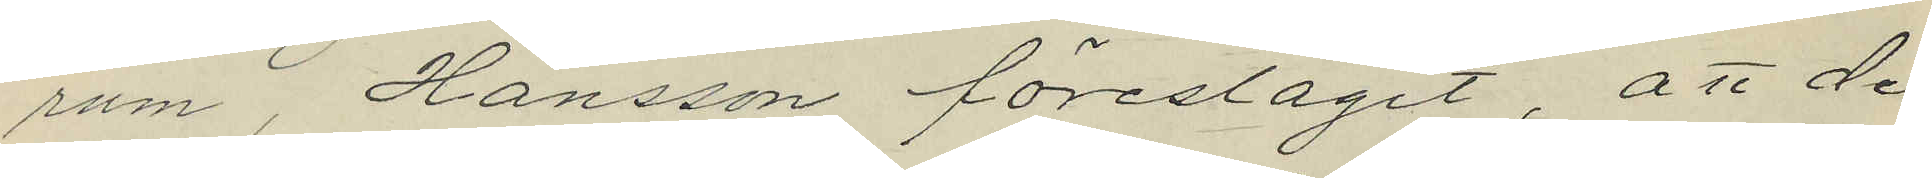rum, Hansson föreslagit, att de
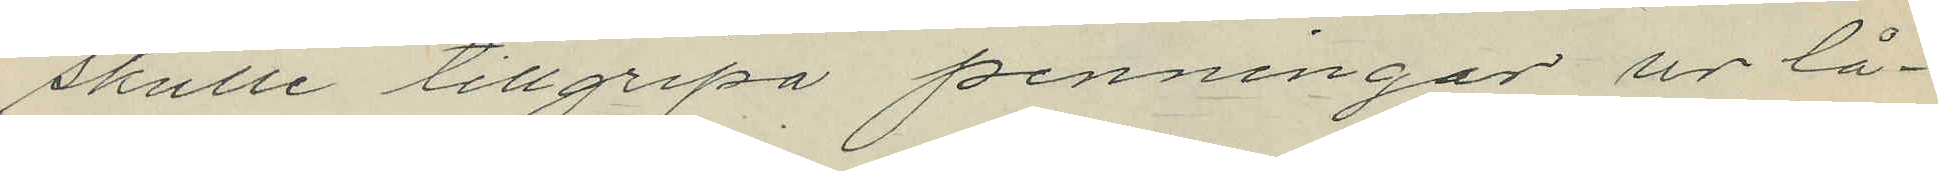skulle tillgripa penningar ur lå¬
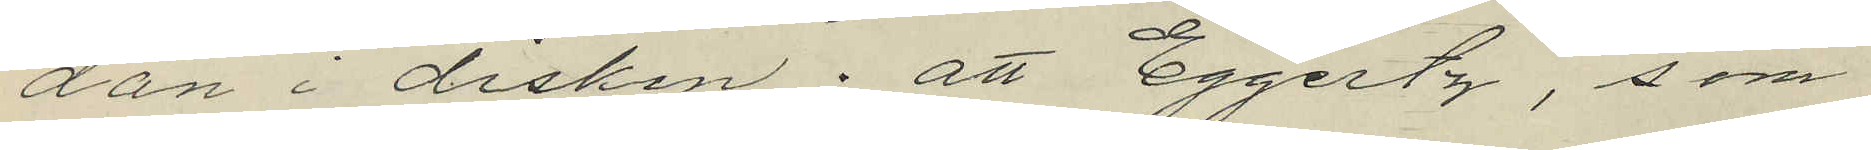dan i disken; att Eggertz, som
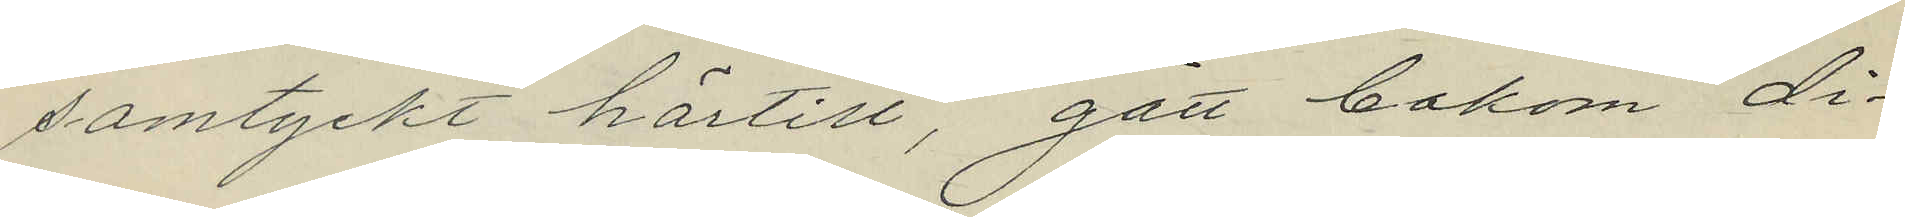samtyckt härtill, gått bakom Li¬
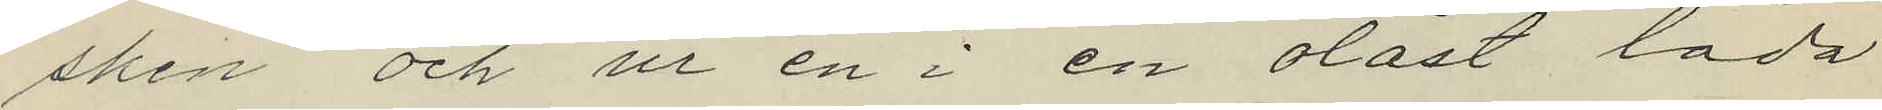sken och ur en i en olåst låda
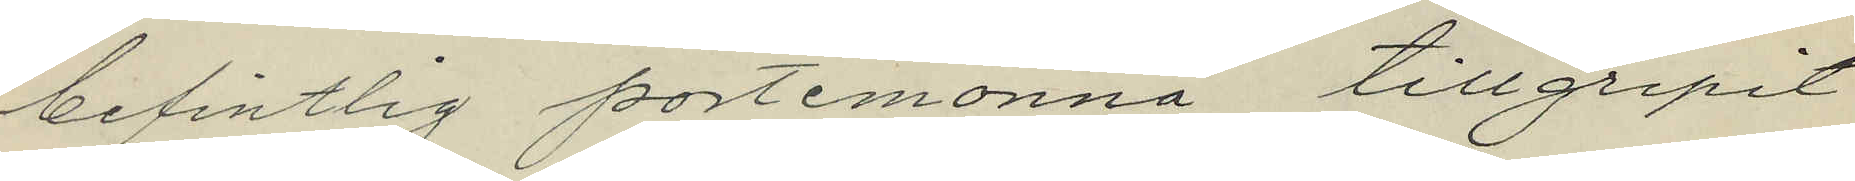befintlig portmonnä tillgripit
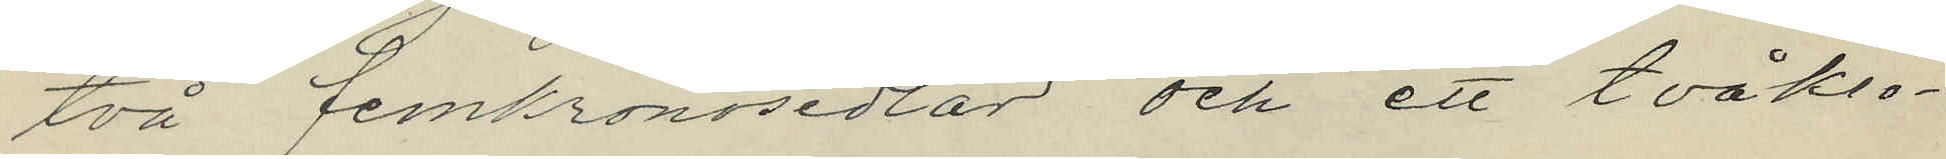två femkronosedlar och ett tvåkro¬
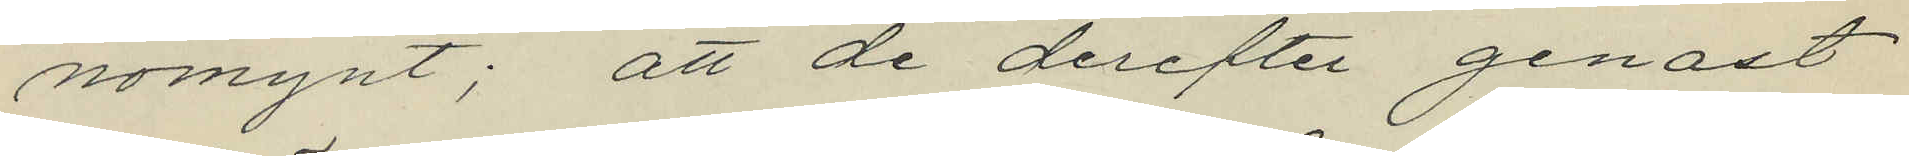nomynt; att de derefter genast
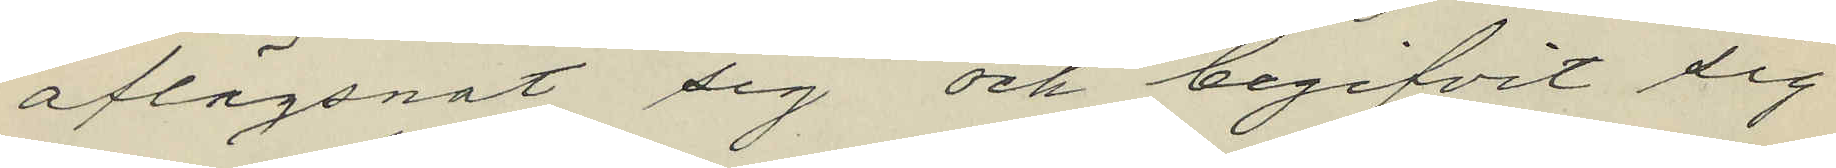aflägsnat sig och begifvit sig
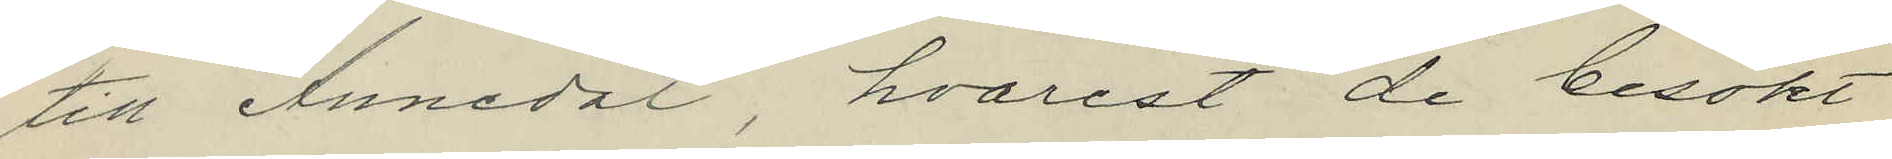till Annedal, hvarest de besökt
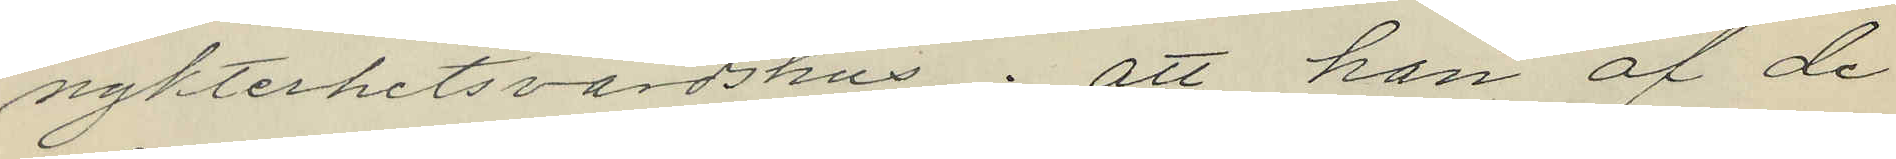nykterhetsvärdshus; att han af de
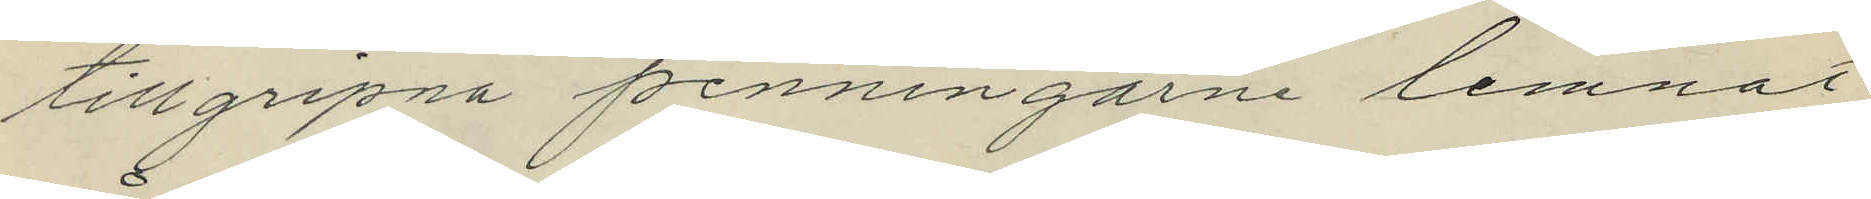tillgripna penningarne lemnat
